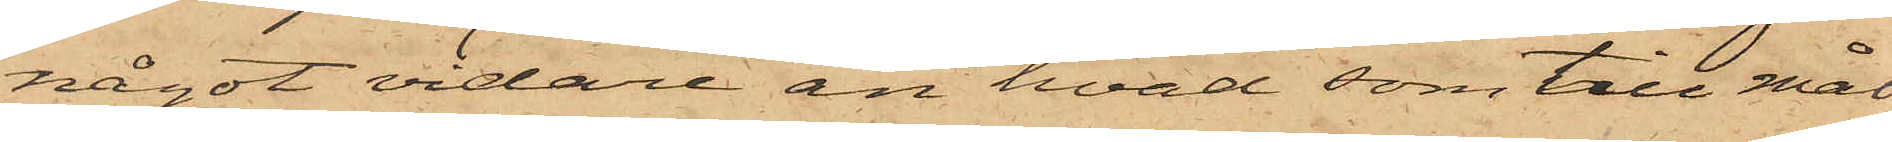något vidare än hvad som till mål¬
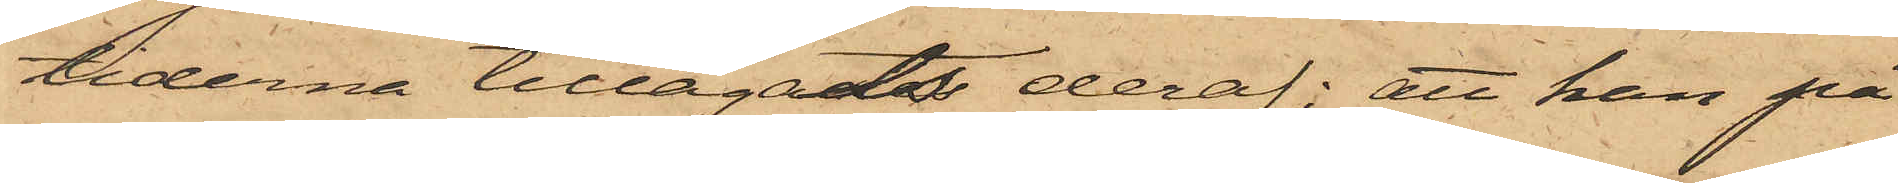tiderna tillagats deraf; att han på
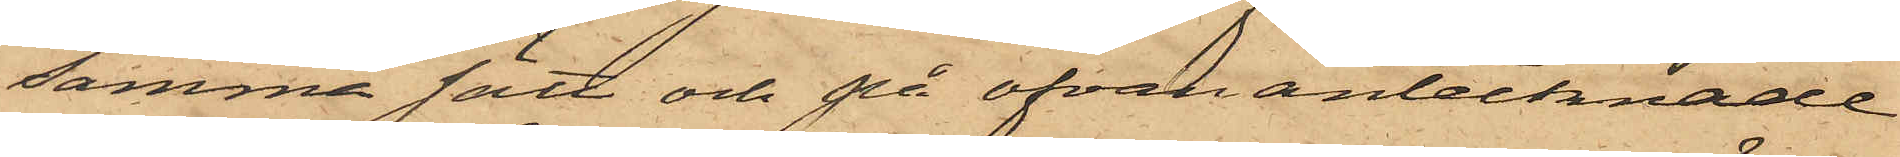samma sätt och på ofvan antecknade
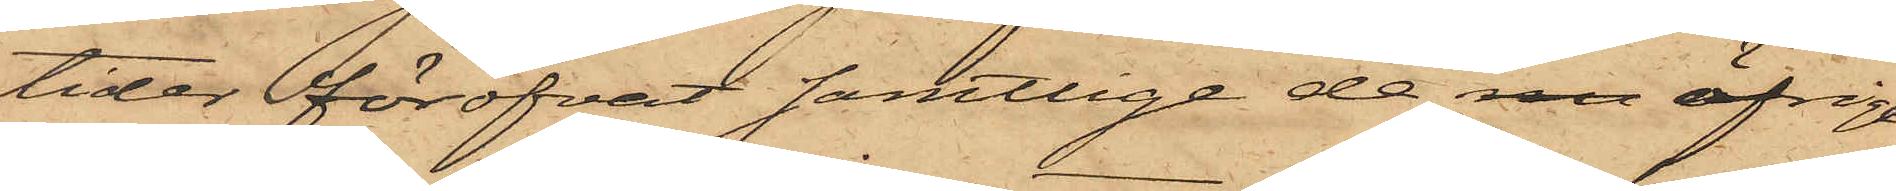tider föröfvat samtlige de sam öfriga
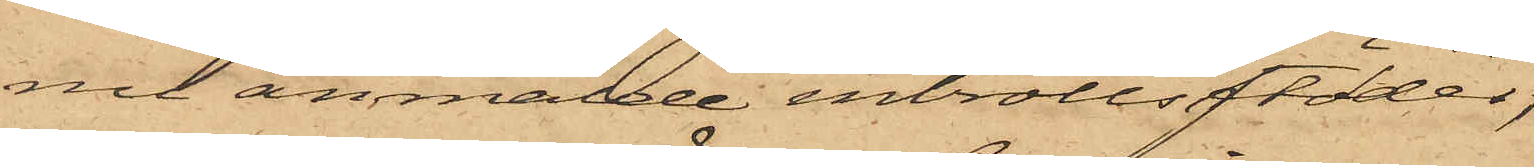nu anmälde inbrottsstölder,
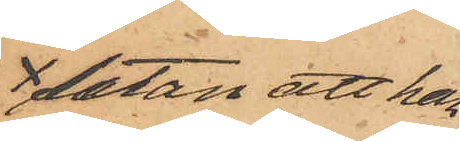utan att han
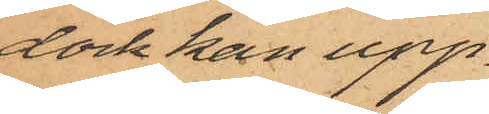dock kan upp¬
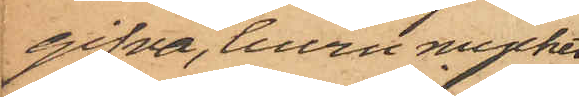gifva, huru mycket
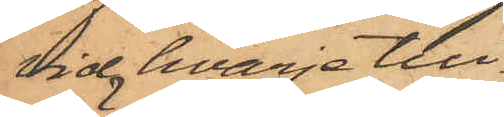vid hvarje till¬
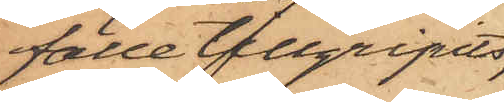fälle tillgripits,
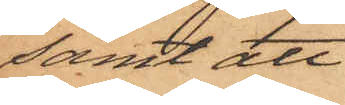samt att
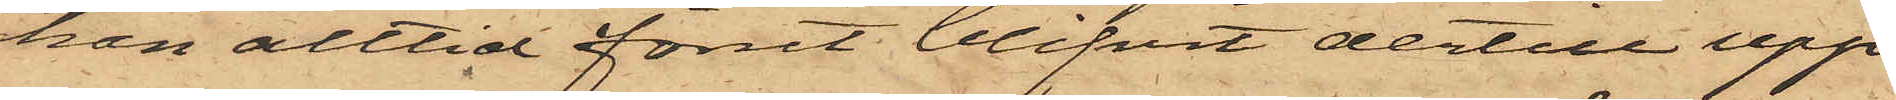han alltid förut blifvit dertill upp¬
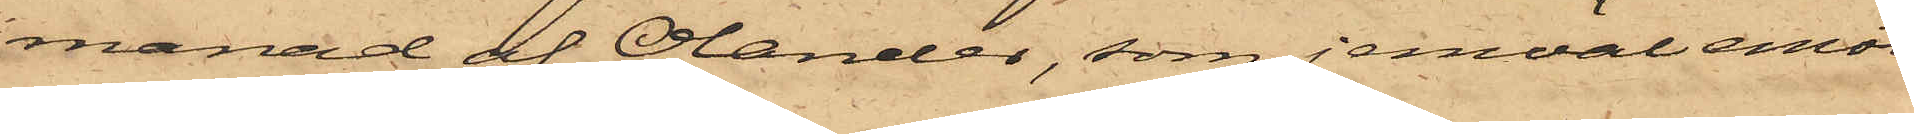manad af Olander, som jemväl emot¬
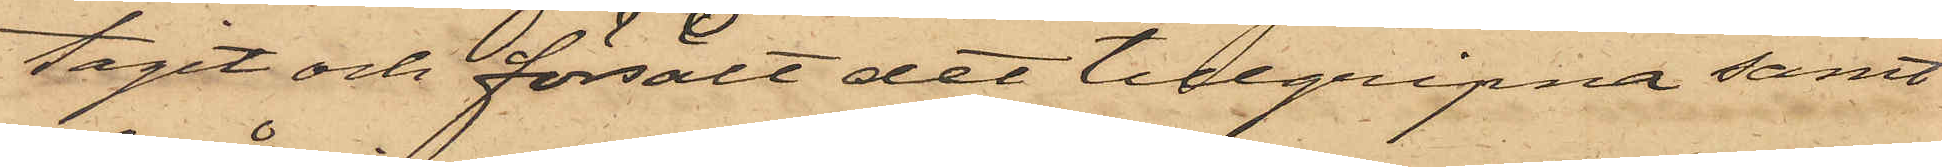tagit och försålt det tillgripna samt
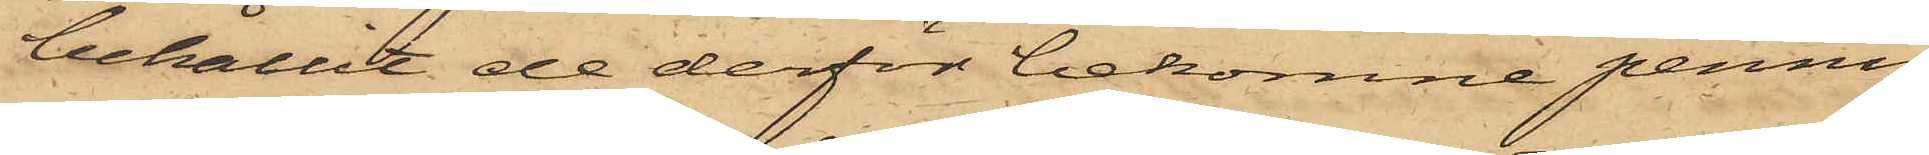behållit de derför bekomne pennin¬
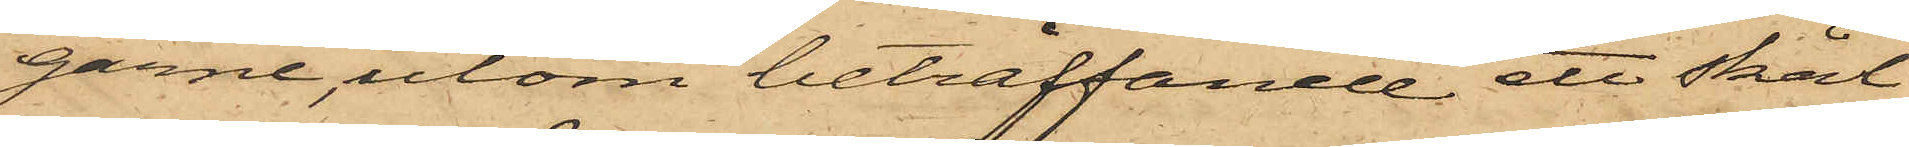garne, utom beträffande ett skål¬
